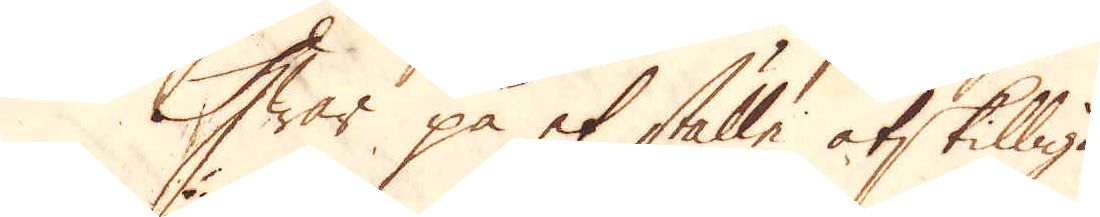Hwar på et ställe åtskilliga
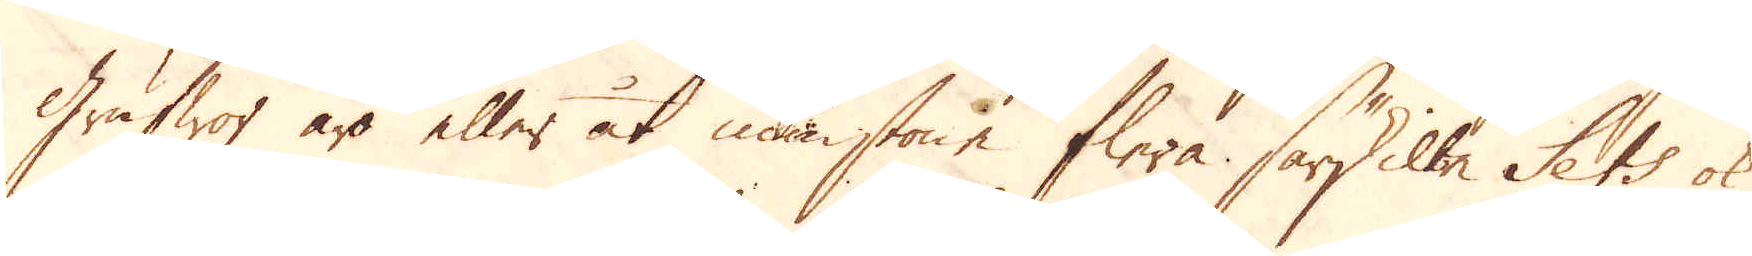Grufwor äro eller åt minstone flera särskilte Sets ok
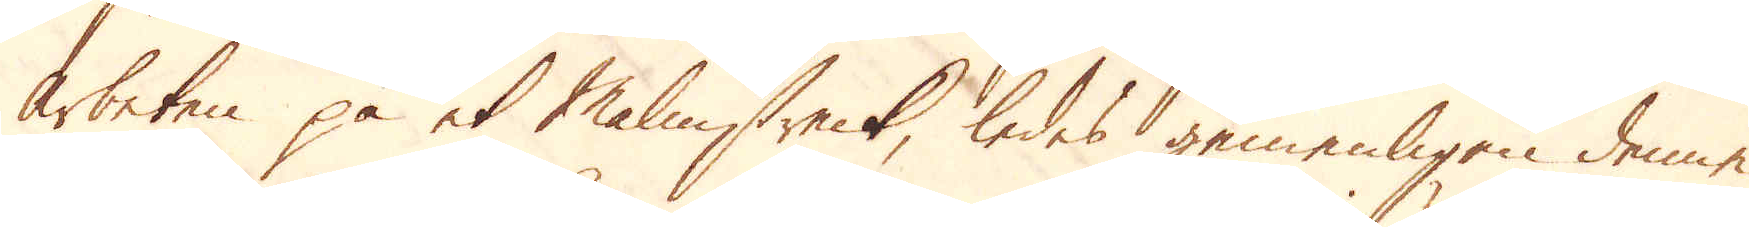arbeten på et Malmstreck, ledes gemenligen denne
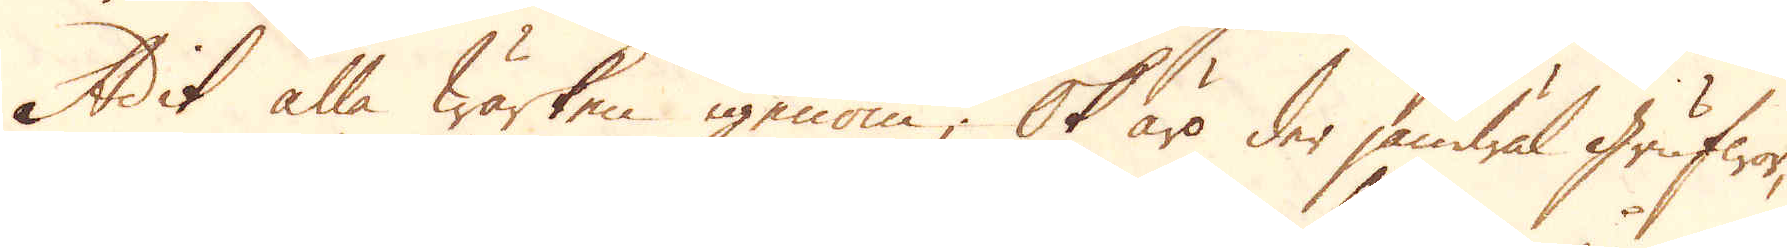Adit alla Wärken igenom; Ok äro der jämwäl Grufwor,
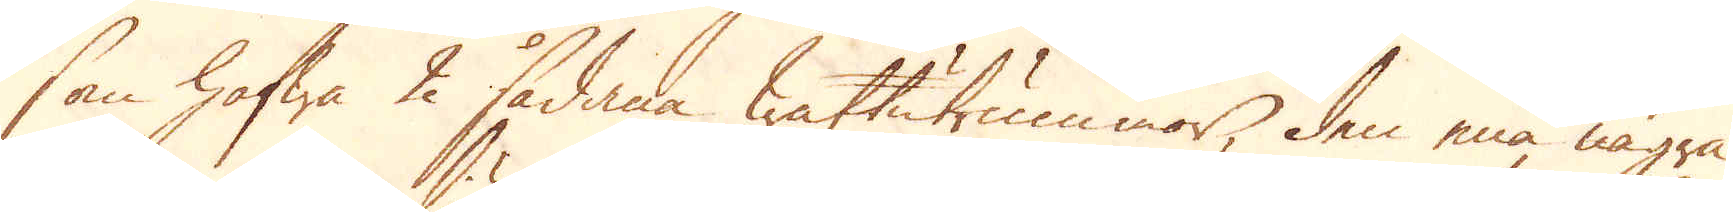som hafwa 2 sådana wattutrummor, den ena några
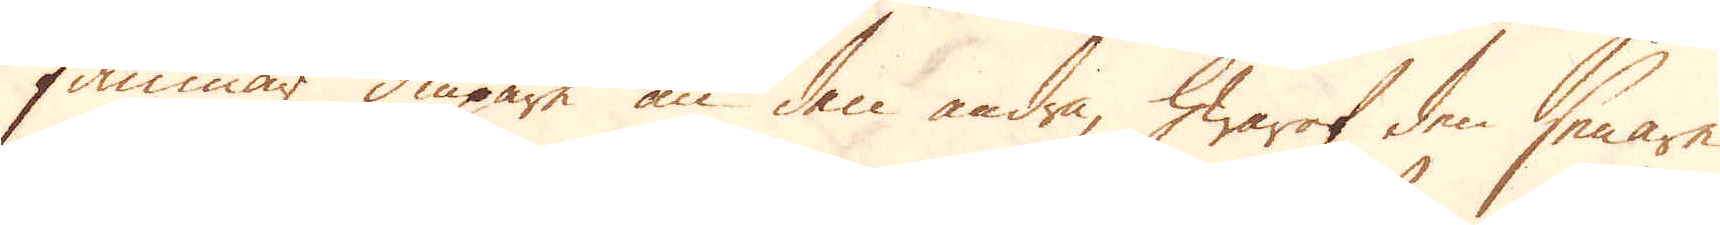famnar diupare än den andra, hwaraf den senare
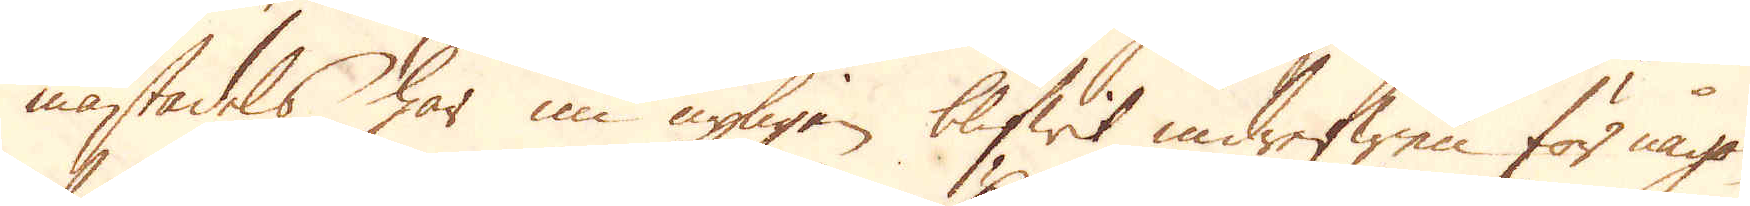mästadels har nu nyligen blifwit indrefwen för någon
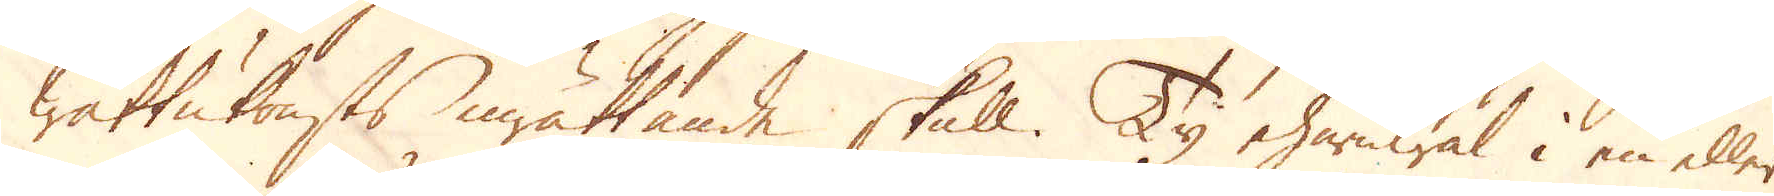wattukonsts inrättande skull. Ty ehuruwäl i en eller
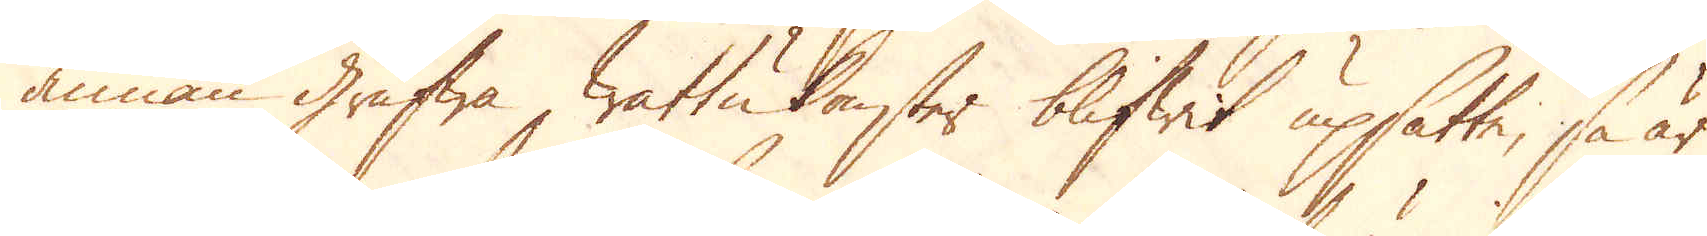annan Grufwa wattukonster blifwit upsatte, så är
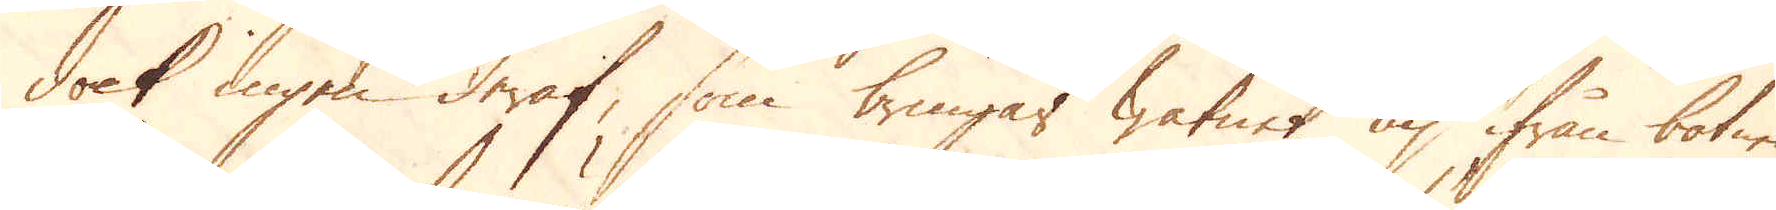dock ingen deraf, som bringar watnet up ifrån botnen
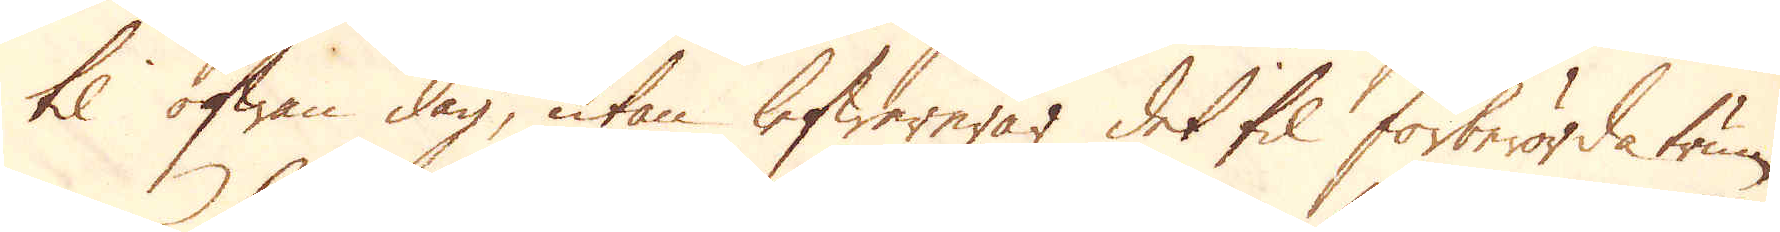til ofwan dag, utan lefwereras det til förberörda trum-
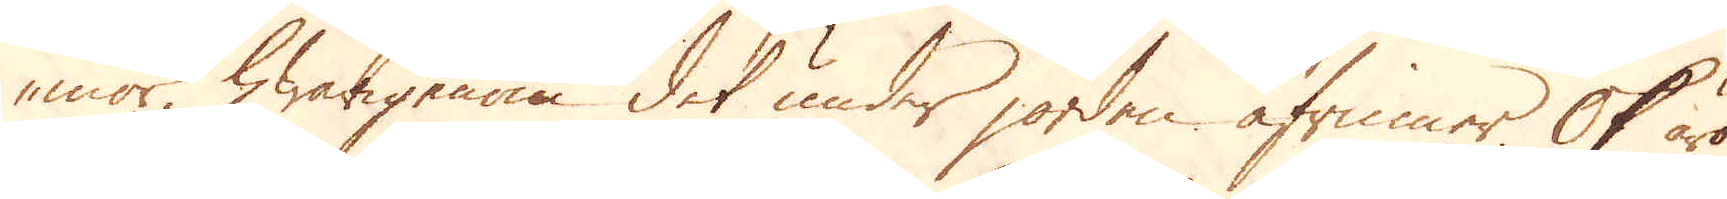mor, hwarigenom det under jorden afrinner. Ok äro
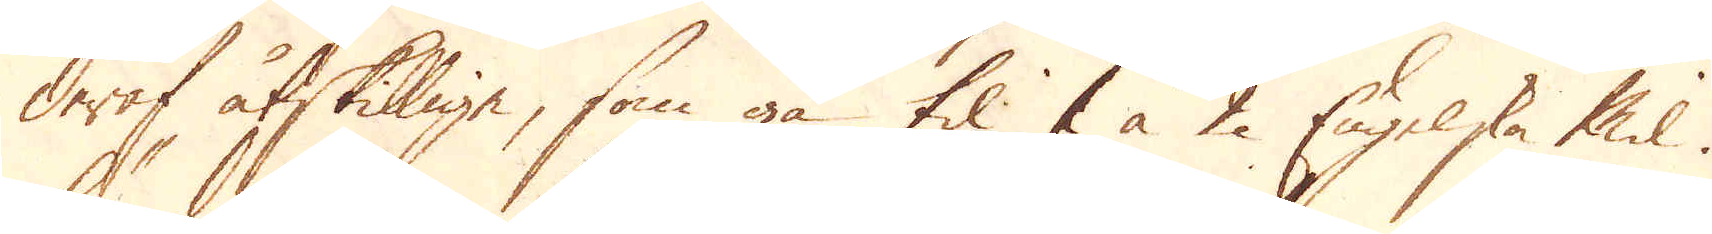deraf åtskillige, som gå til 1 à 2 Engelska Mil.
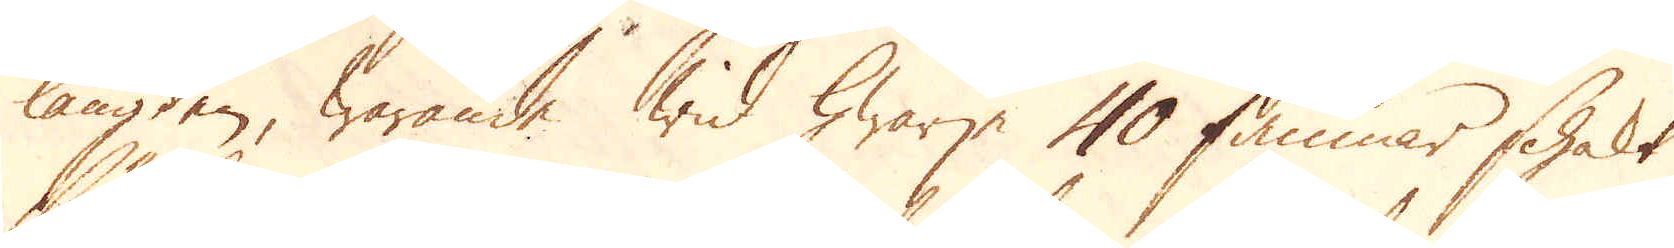längden, warande wid hwarje 40 famnar schakt
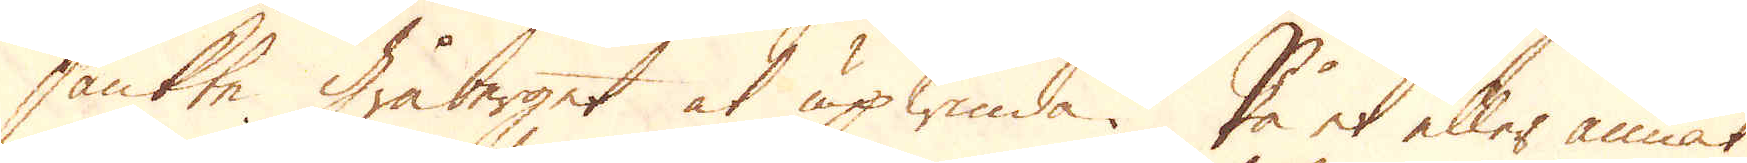sänkte Gråberget at upwinda. På et eller annat
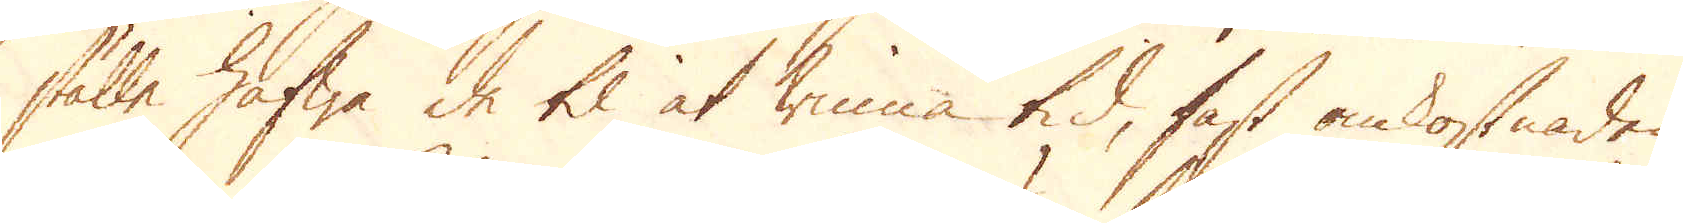ställe hafwa de til at winna tid, fast omkostnaden,
